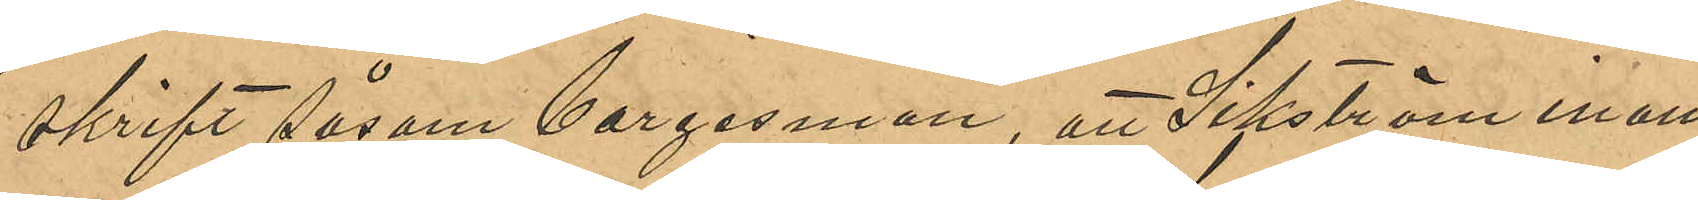skrift såsom borgensman, att Sikström inom 
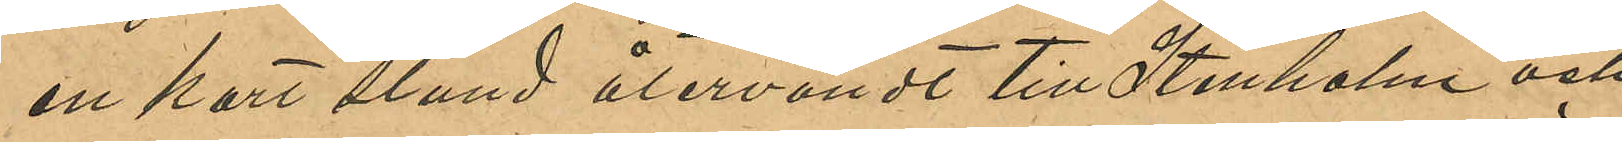en kort stund återvändt till Stenholm och
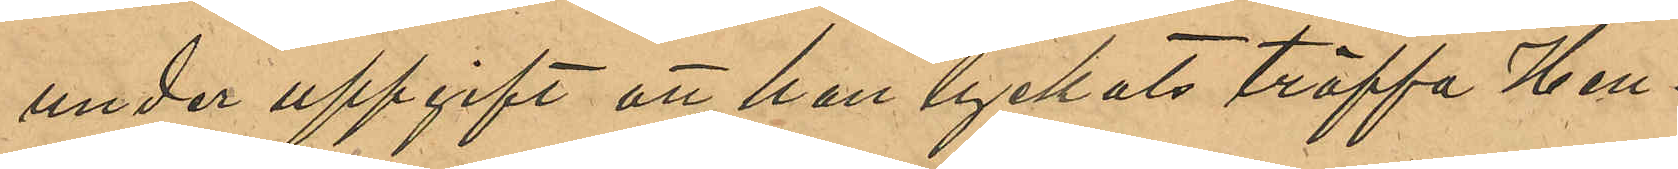under uppgift att han lyckats träffa Hen¬
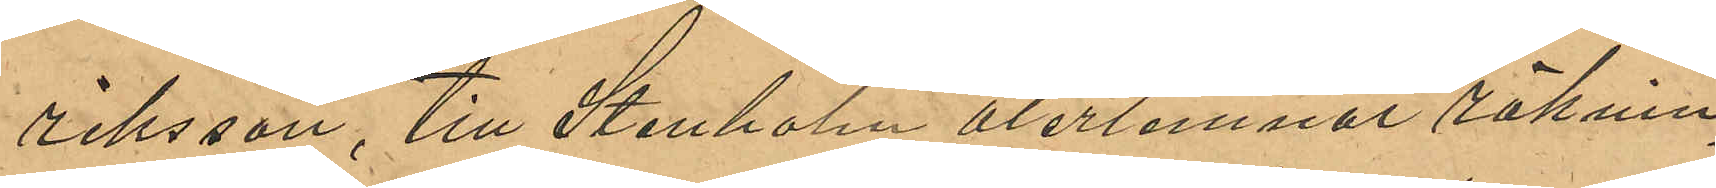riksson, till Stenholm återlemnat räknin¬
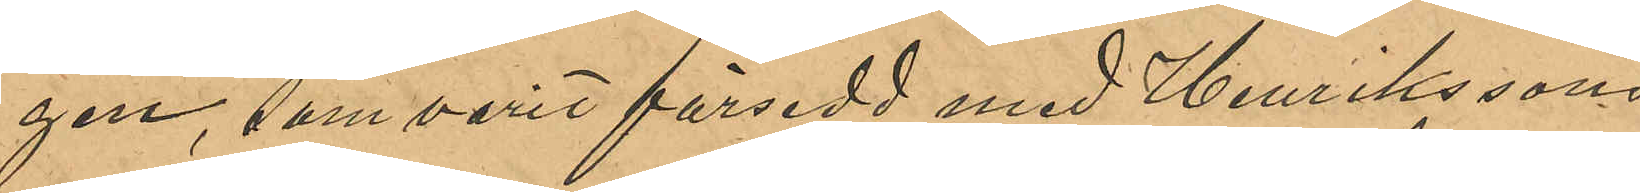gen, som varit försedd med Henrikssons
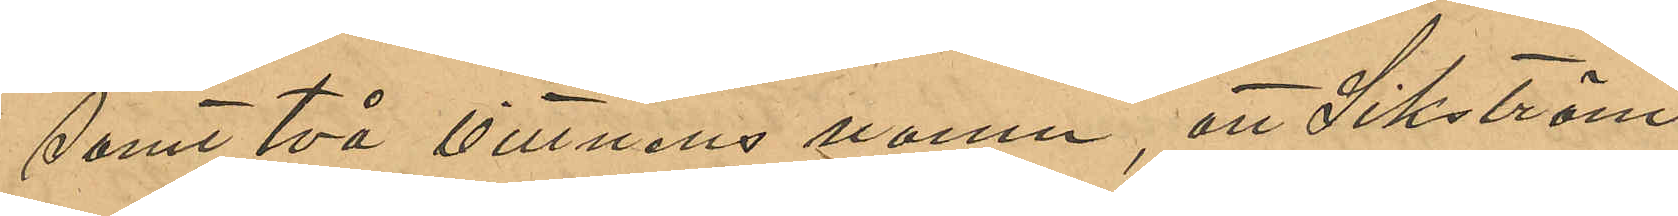samt två vittnens namn, att Sikström,
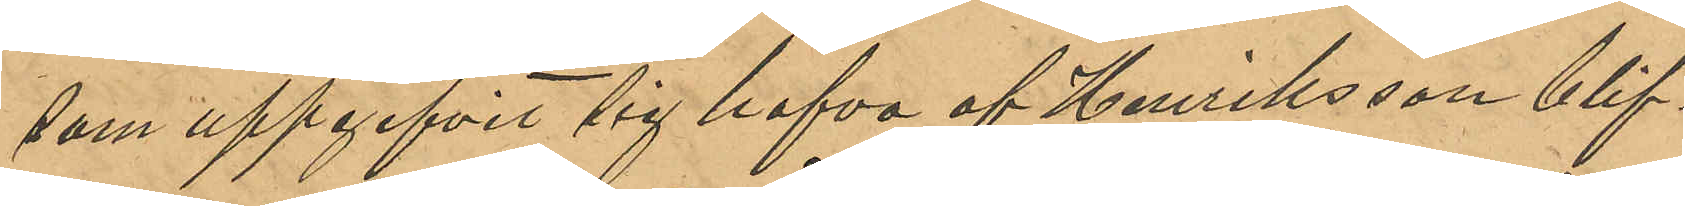som uppgifvit sig hafva af Henriksson blif¬
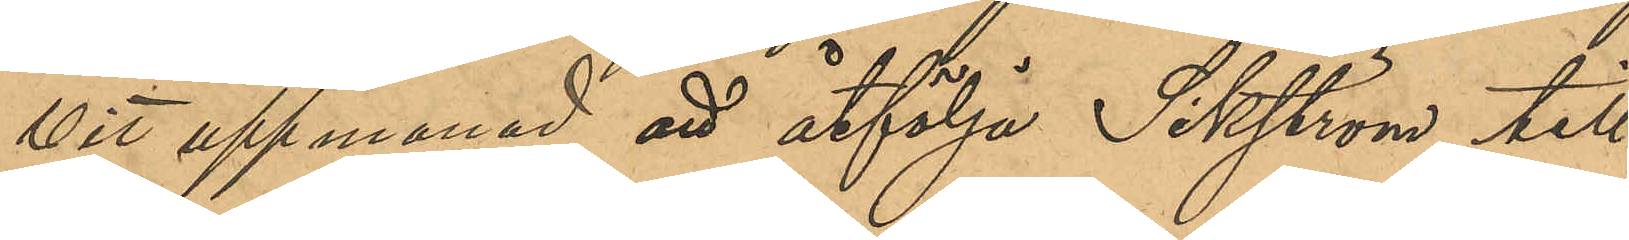vit uppmanad att åtfölja Sikström till
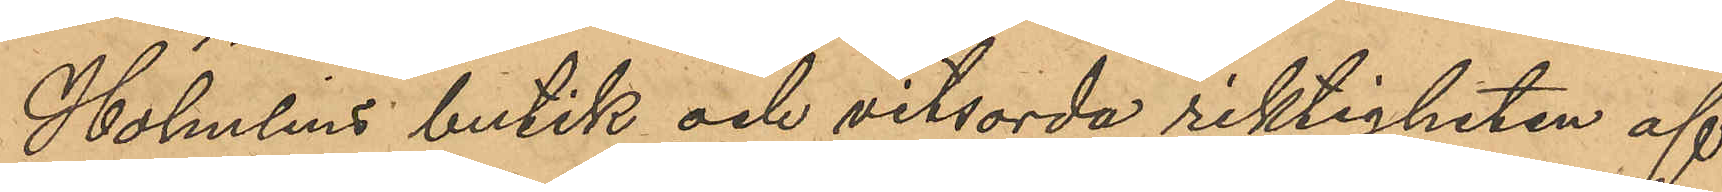Holmlins butik och vitsorda riktigheten af
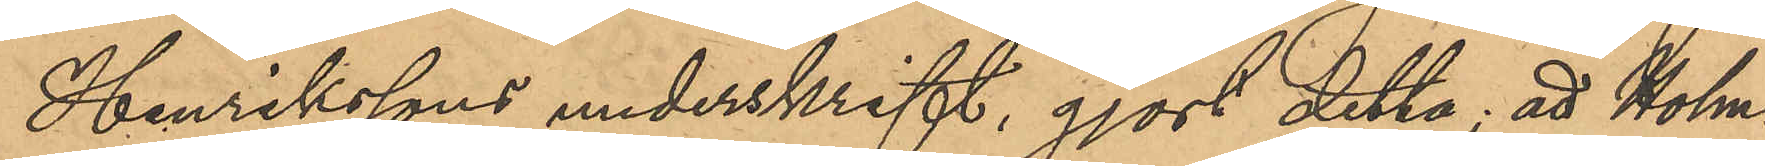Henrikssons underskrift, gjort detta, att Holm¬
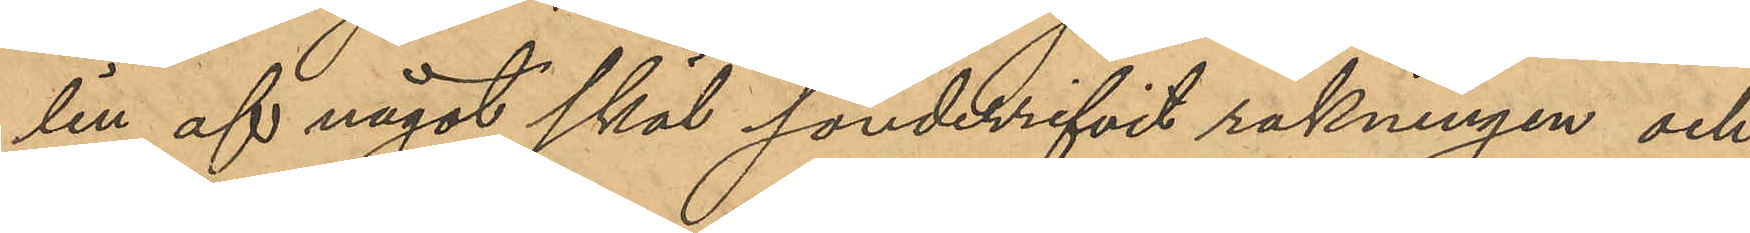lin af något skäl sönderrifvit räkningen och
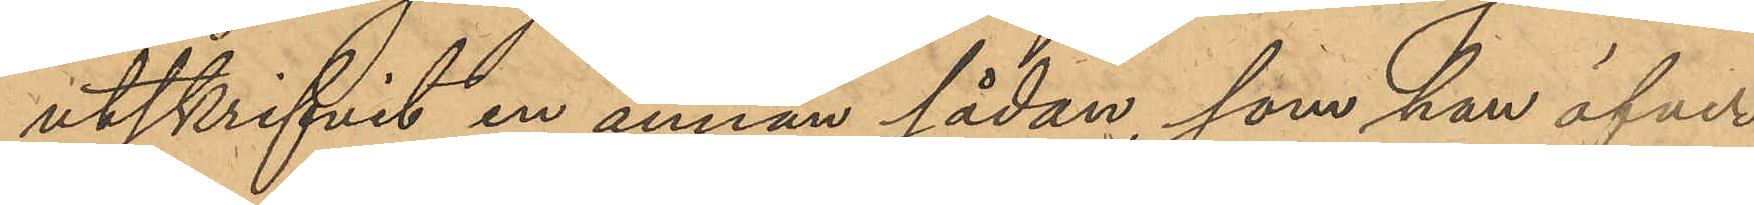utskrifvit en annan sådan, som han öfver¬
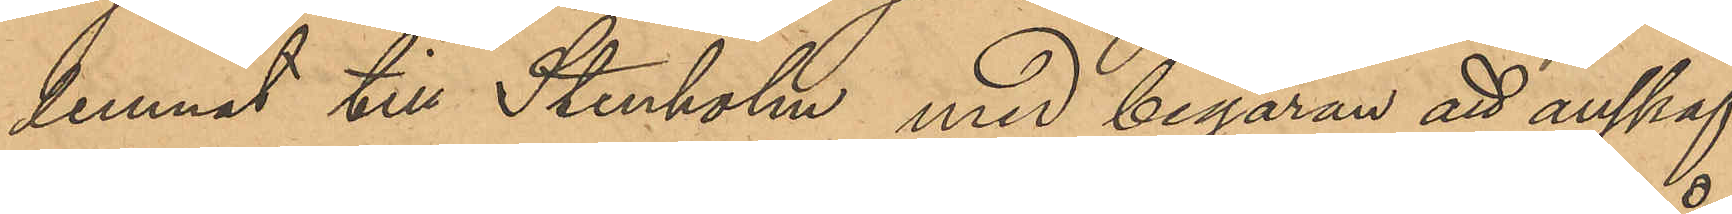lemnat till Stenholm med begäran att anskaf¬
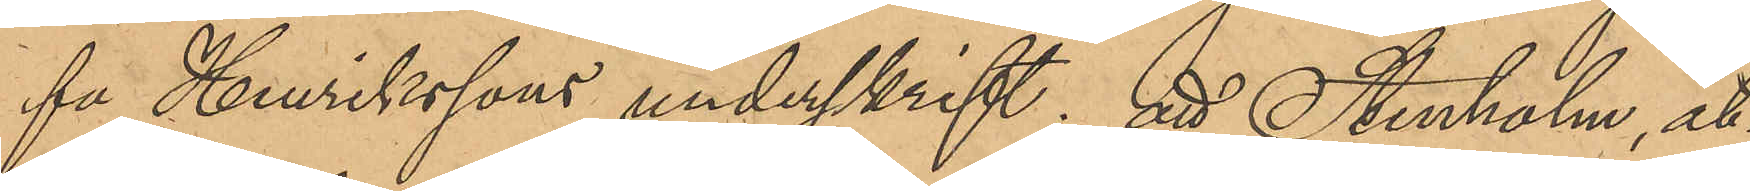fa Henrikssons underskrift; att Stenholm, åt¬
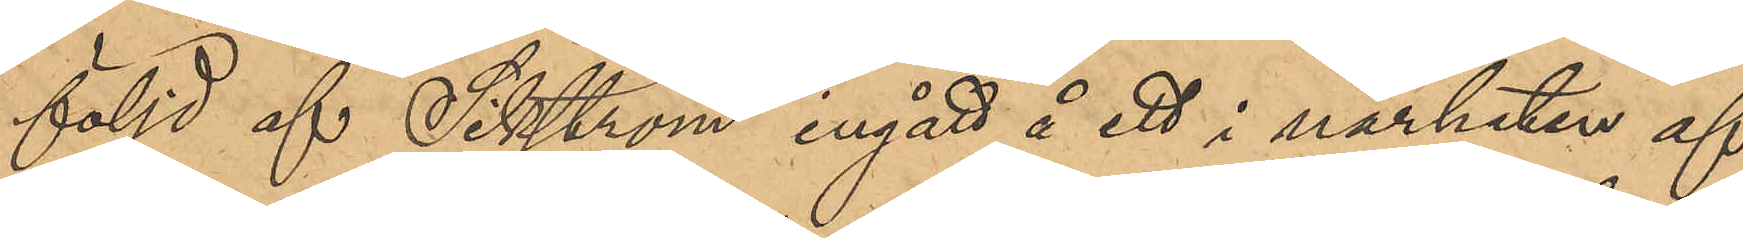följd af Sikström ingått i ett i närheten af
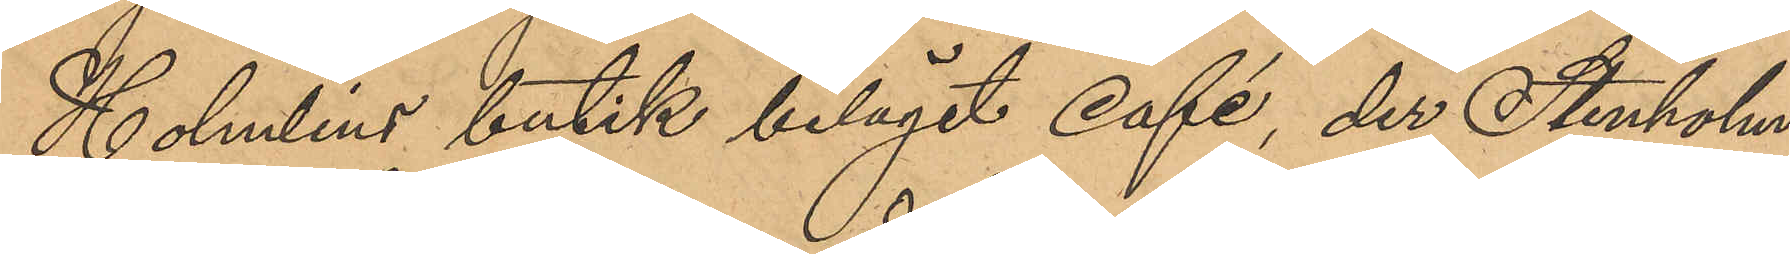Holmlins butik beläget Café, der Stenholm
